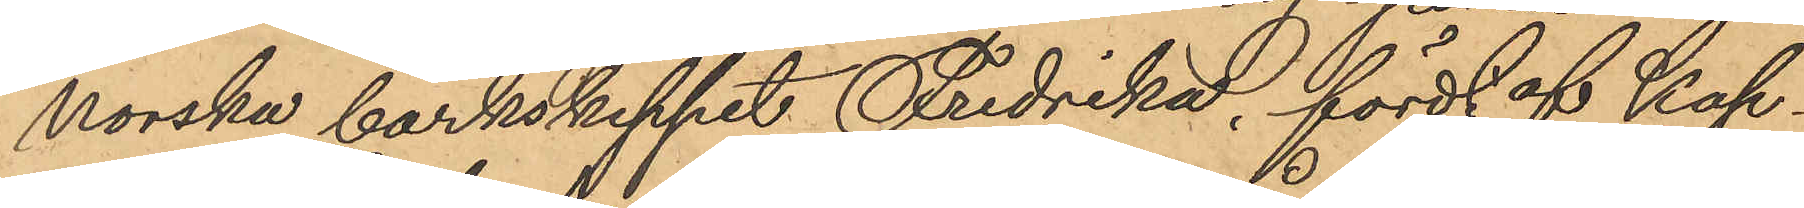norska barkskeppet Fredrika, fördt af Kap¬
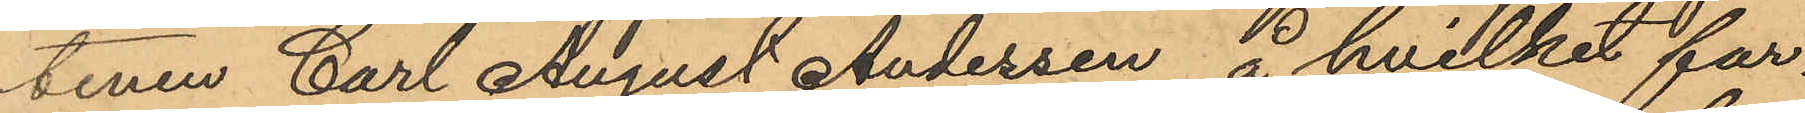tenen Carl August Andersen, å hvilket far¬
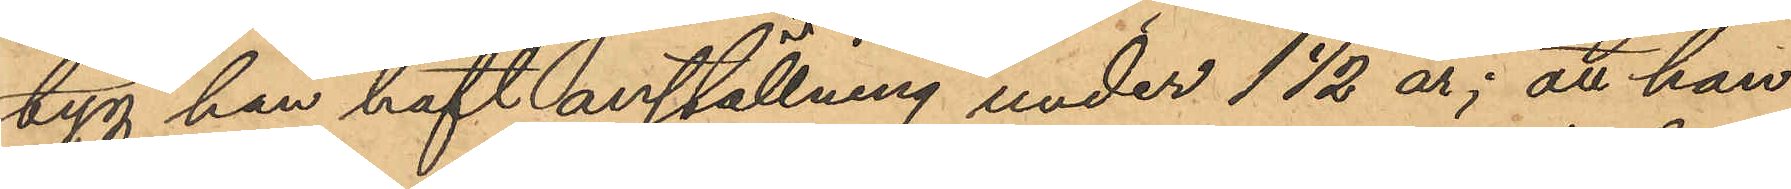tyg han haft anställning under 1 ½ år; att han
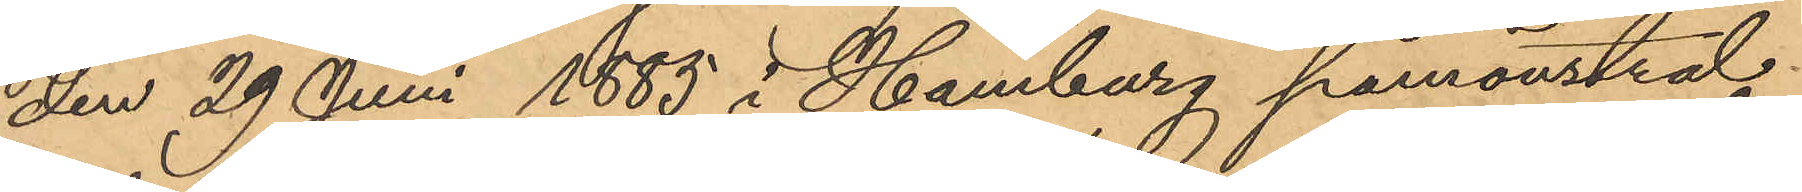den 29 Juni 1885 i Hamburg påmönstrat
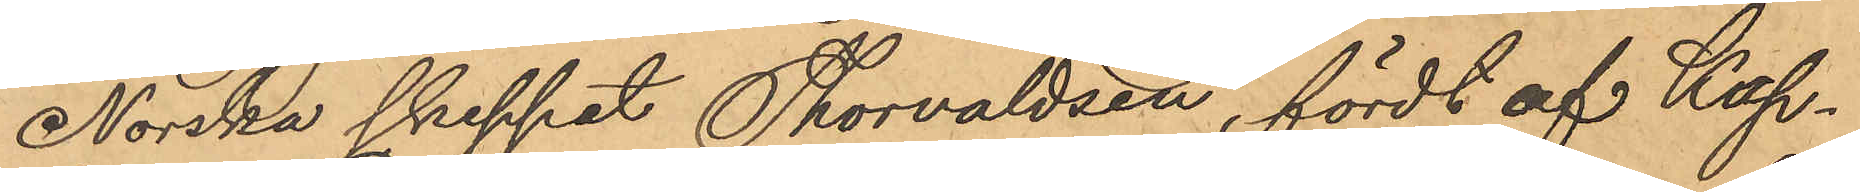Norska skeppet Thorvaldsen, fördt af Kap¬
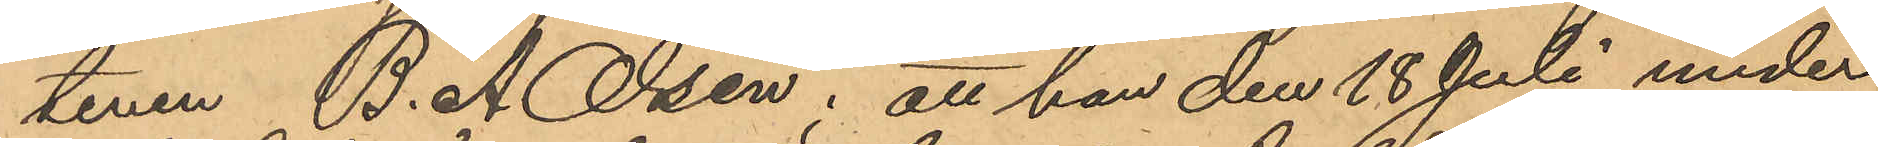tenen B. A. Olsen; att han den 18 Juli under
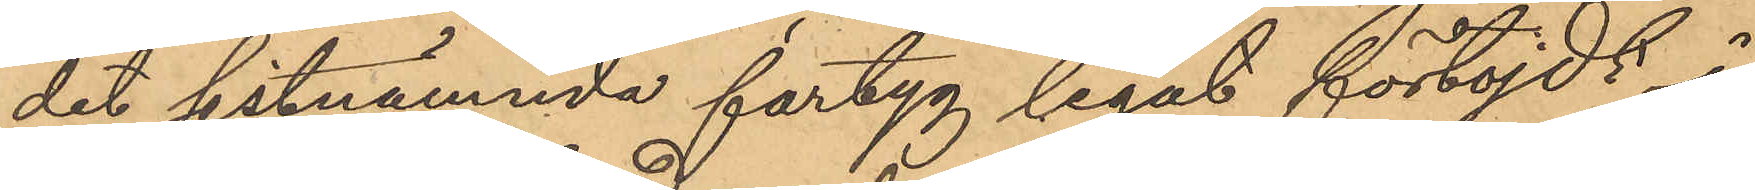det sistnämnda fartyg legat förtöjdt i
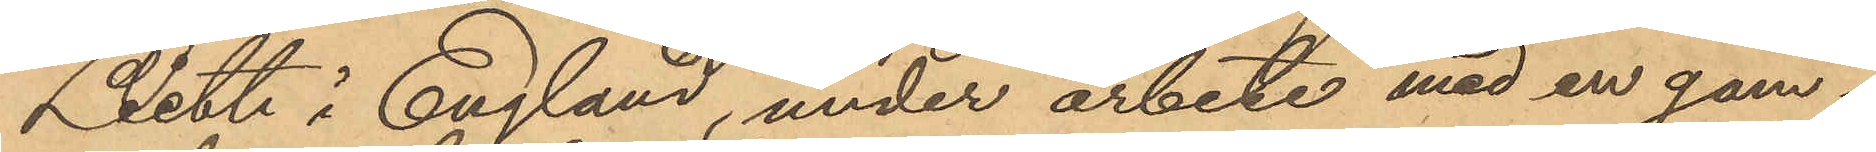Lieth i England, under arbete med en gam¬
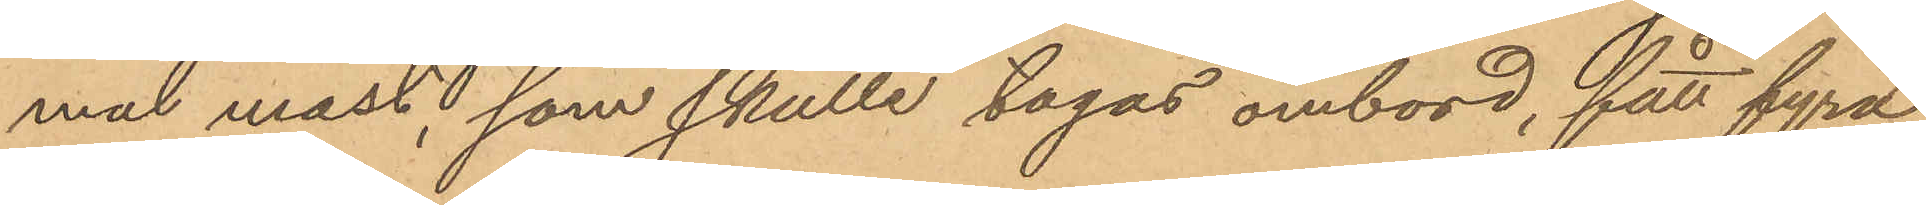mal mast, som skulle tagas ombord, fått fyra
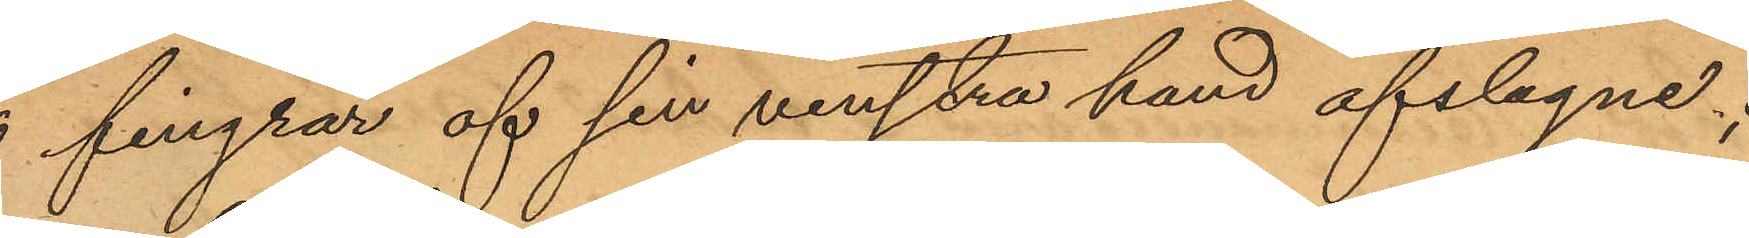 fingrar af sin venstra hand afslagne;
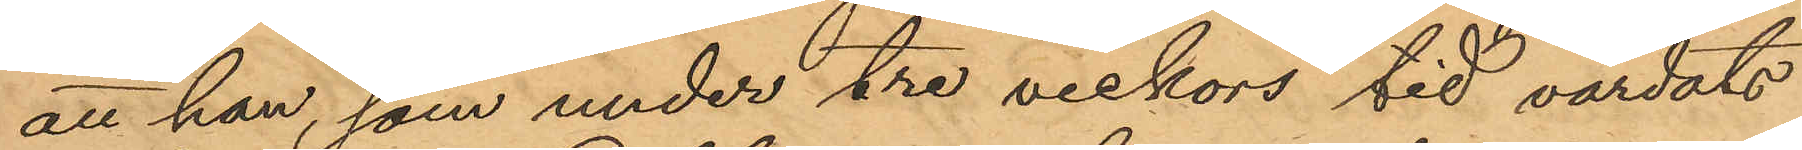att han, som under tre veckors tid vårdats
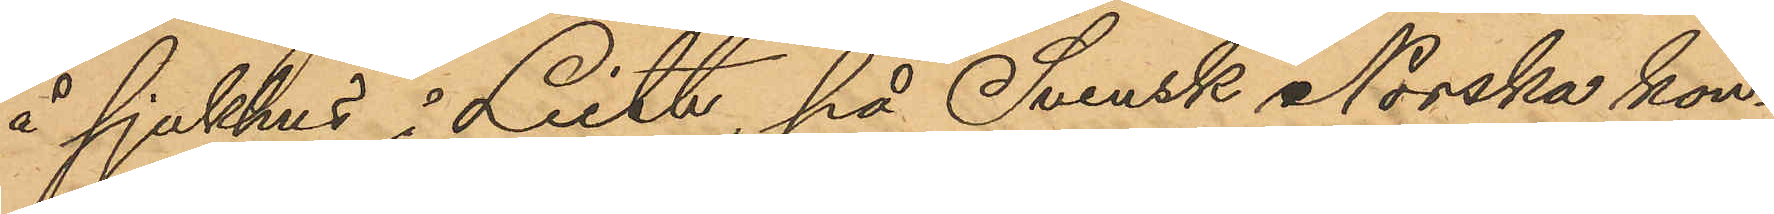å sjukhus i Lieth, på Svensk Norska kon¬
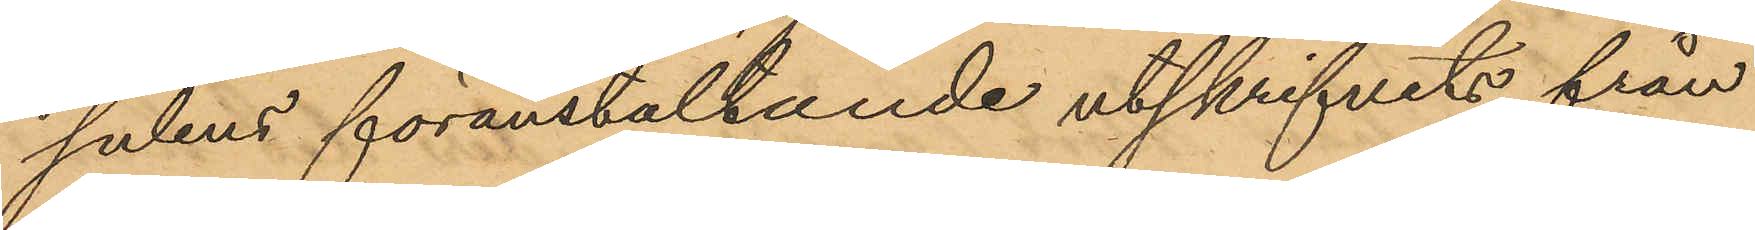sulens föranstaltande utskrifvits från
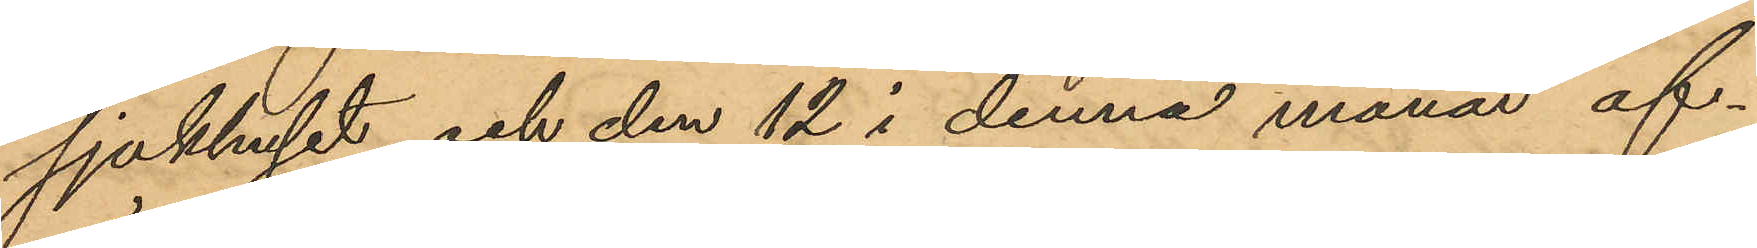sjukhuset och den 12 i denna månad af¬
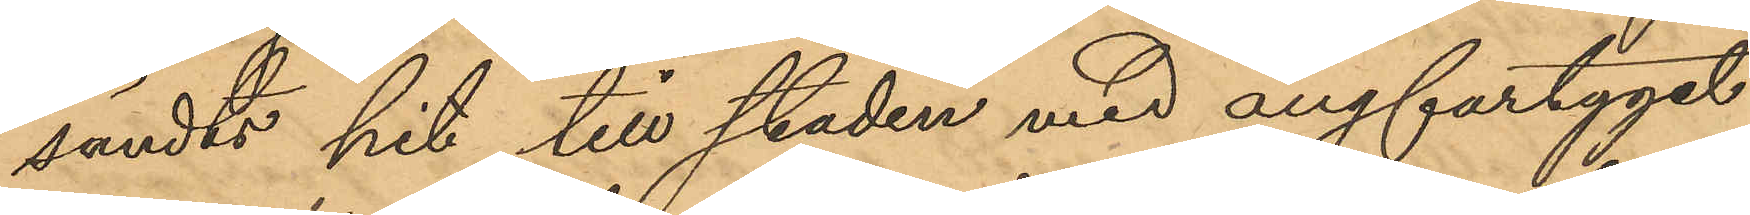sändts hit till staden med ångfartyget
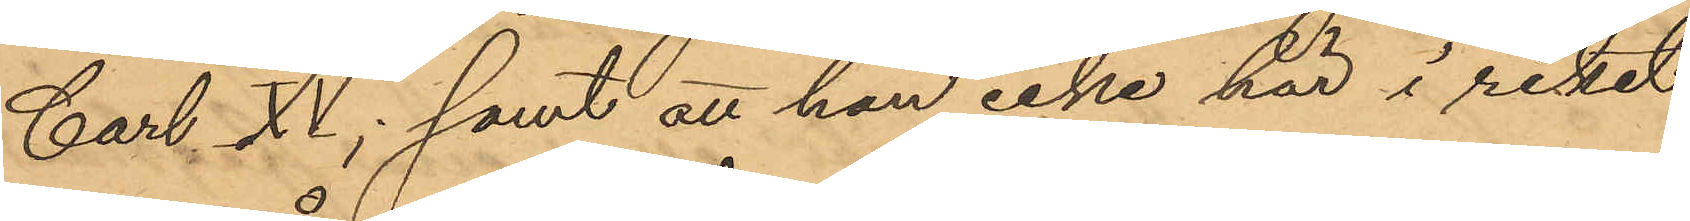Carl XV; samt att han icke här i riket
